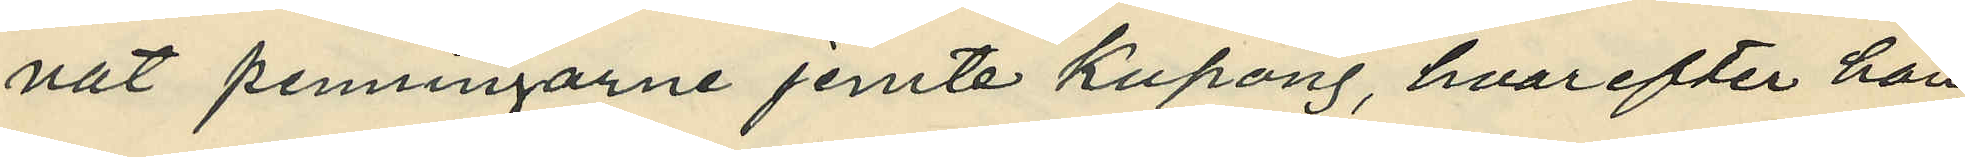nat penningarne jemte kupong, hvarefter han
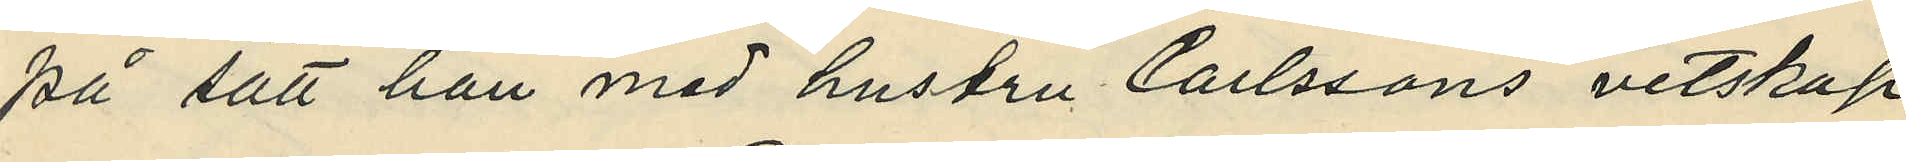på sätt han med hustru Carlssons vetskap
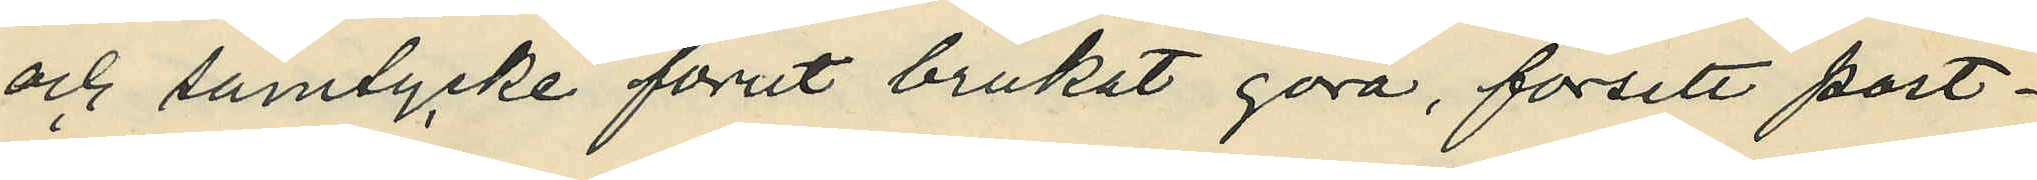och samtycke förut brukat göra, försett post¬
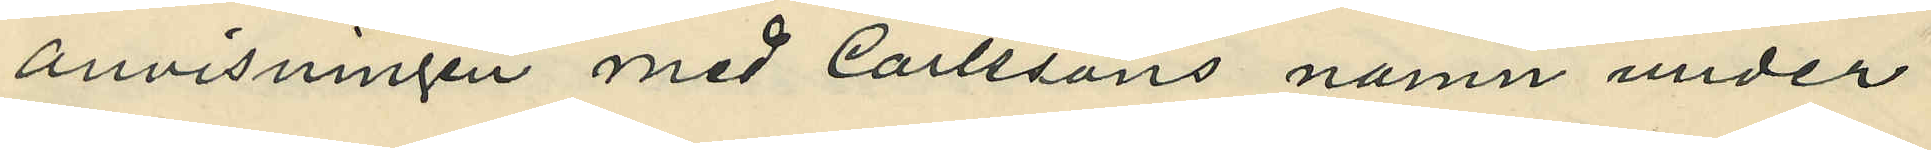anvisningen med Carlssons namn under
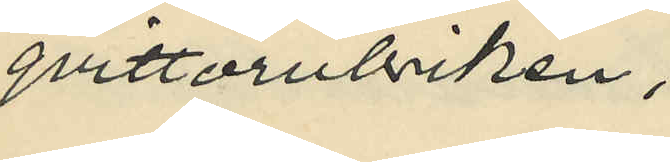qvittorubriken;
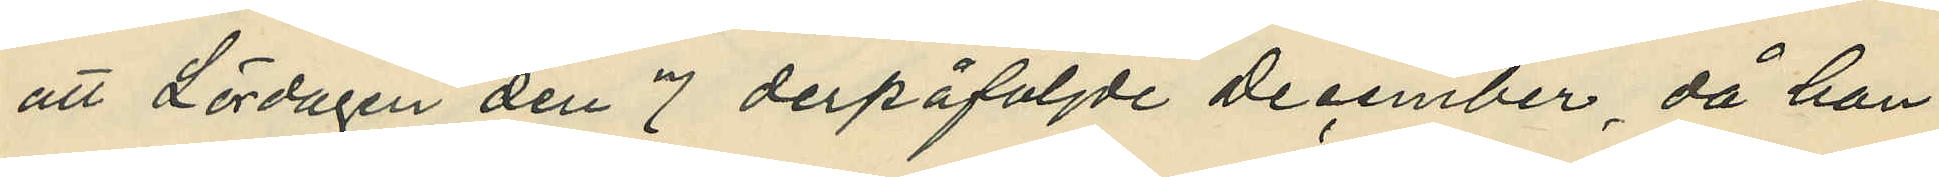att Lördagen den 7 derpåföljde december, då han
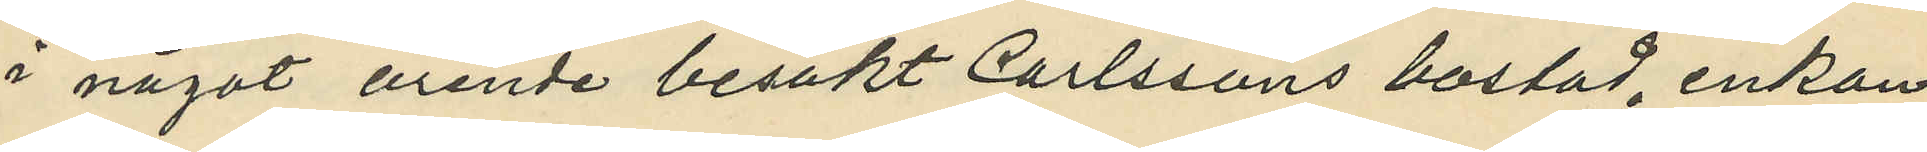i något ärende besökt Carlssons bostad, enkan
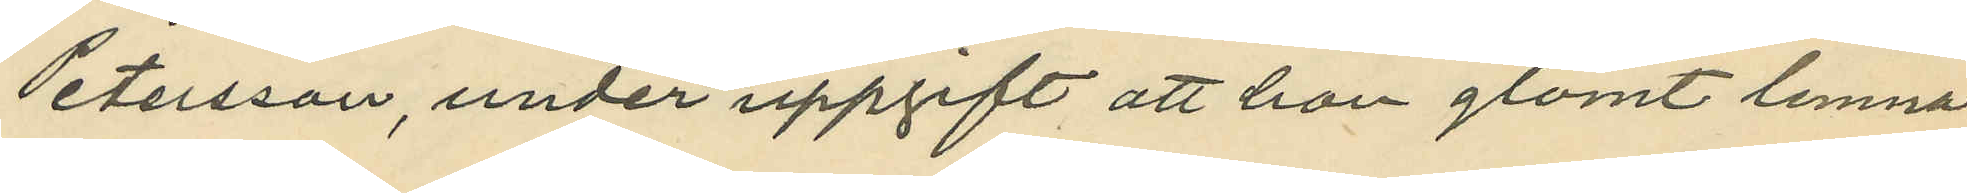Petersson, under uppgift att hon glömt lemna
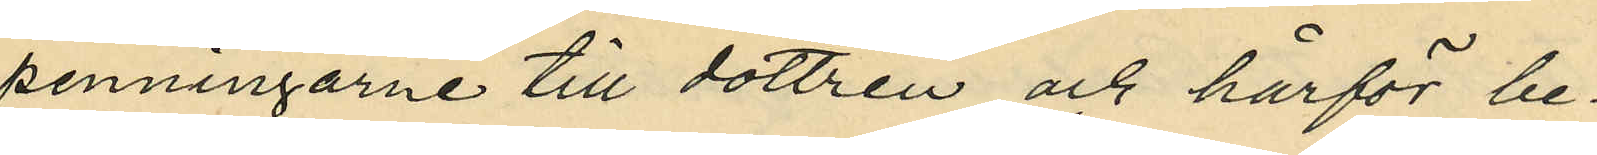penningarne till dottren och härför be¬
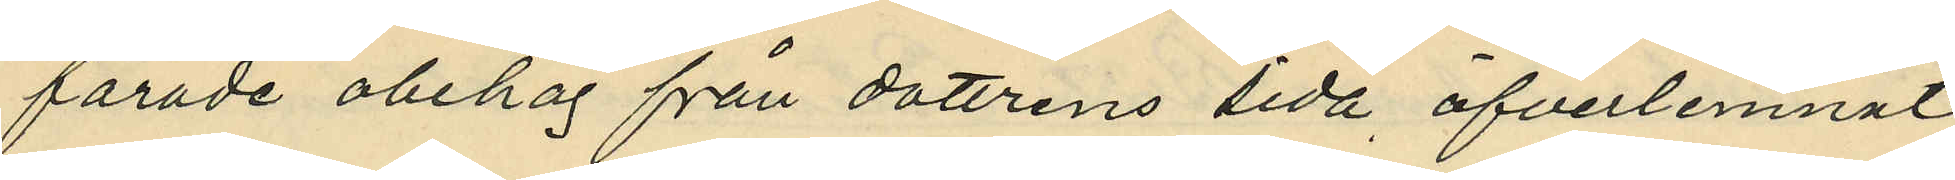farade obehag från dottrens sida öfverlemnat
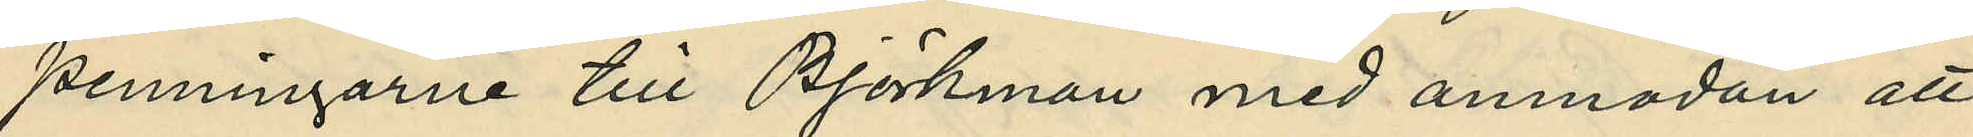penningarne till Björkman med anmodan att
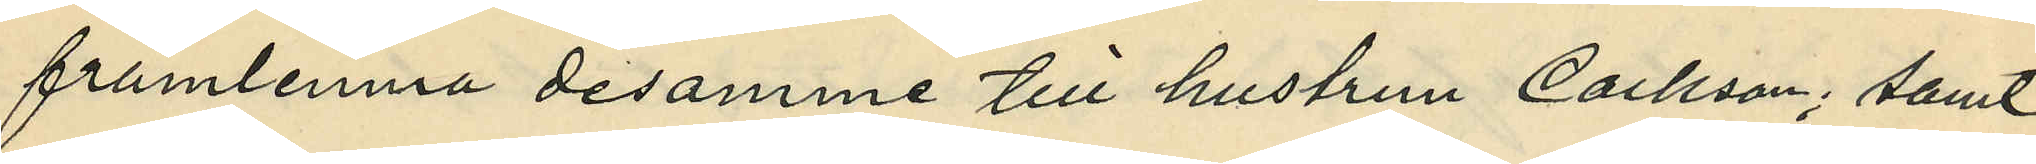framlemna desamme till hustrun Carlsson; samt
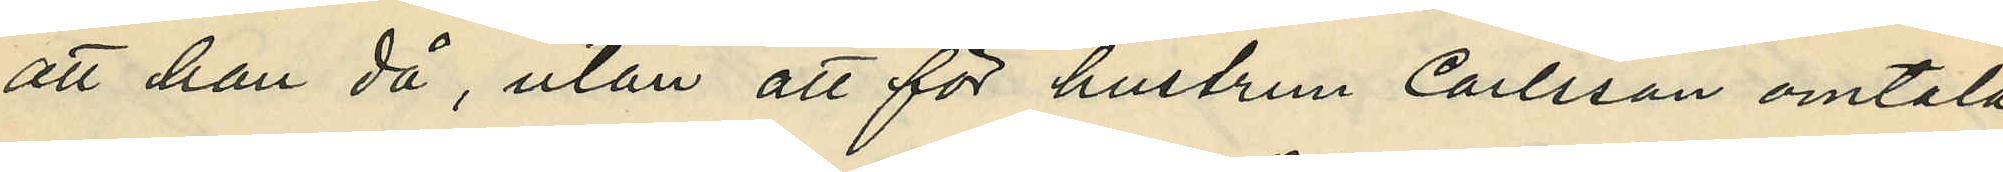att han då, utan att för hustrun Carlsson omtala
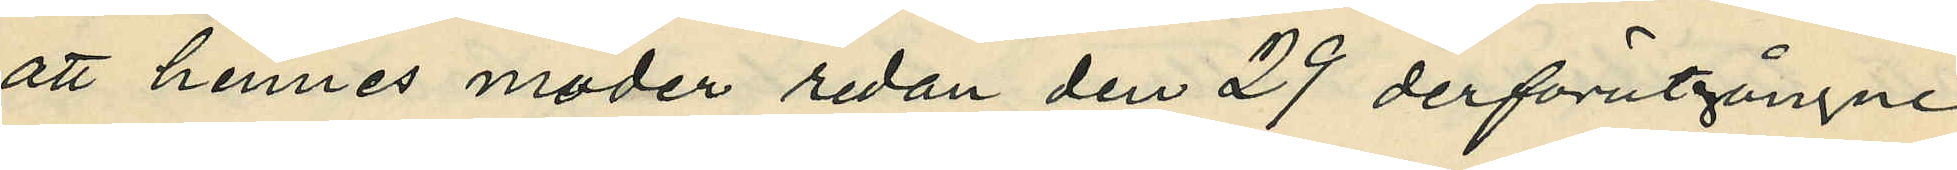att hennes moder redan den 29 derförutgångne
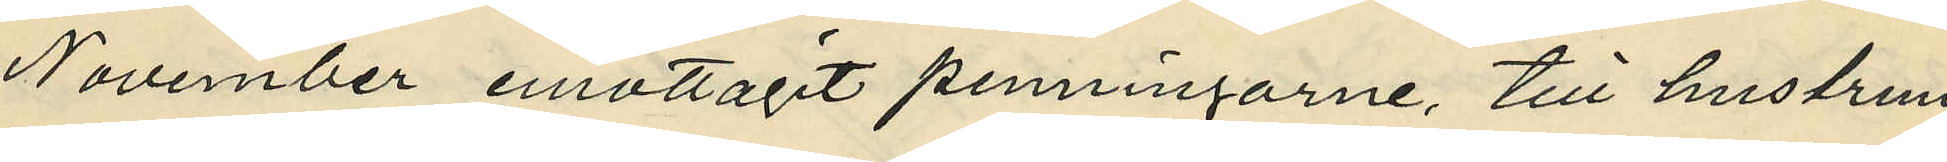November emottagit penningarne, till hustrun
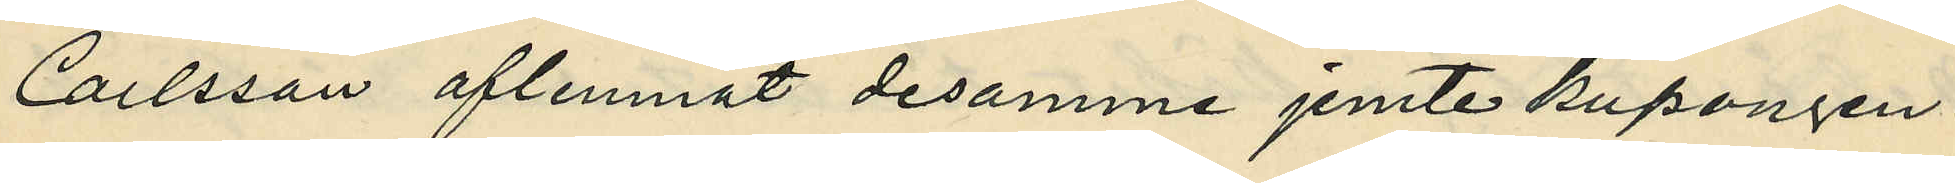Carlsson aflemnat desamme jemte kupongen.
